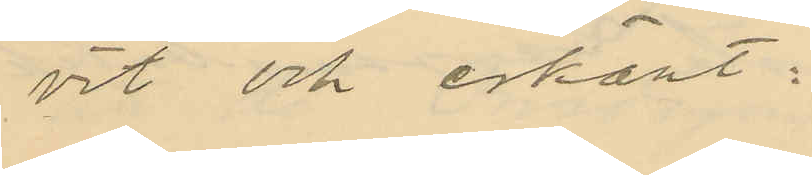vit och erkänt:
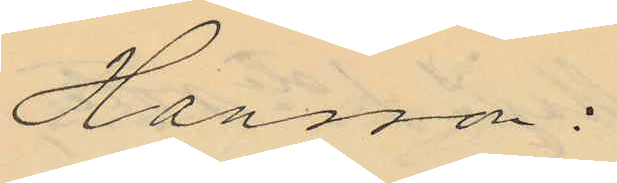Hansson:
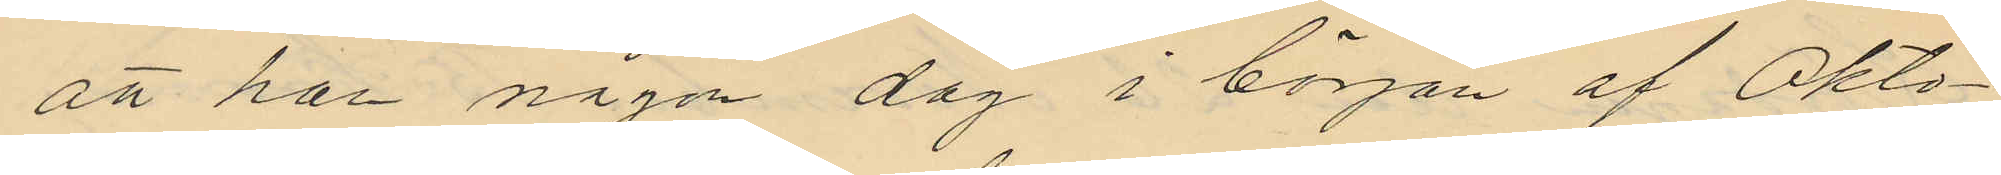att han någon dag i början af Okto¬
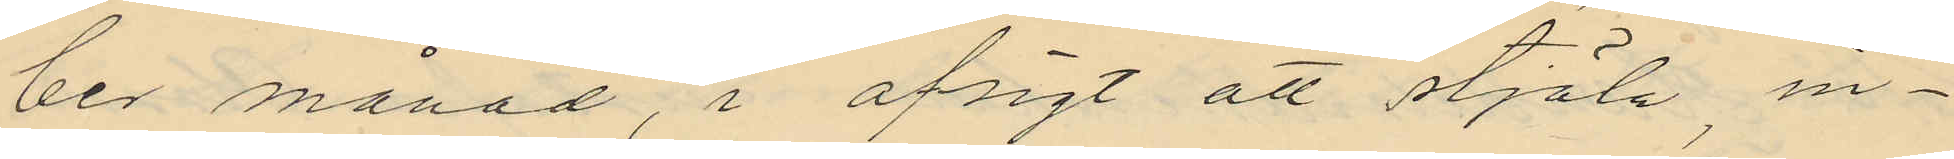ber månad, i afsigt att stjäla, in¬
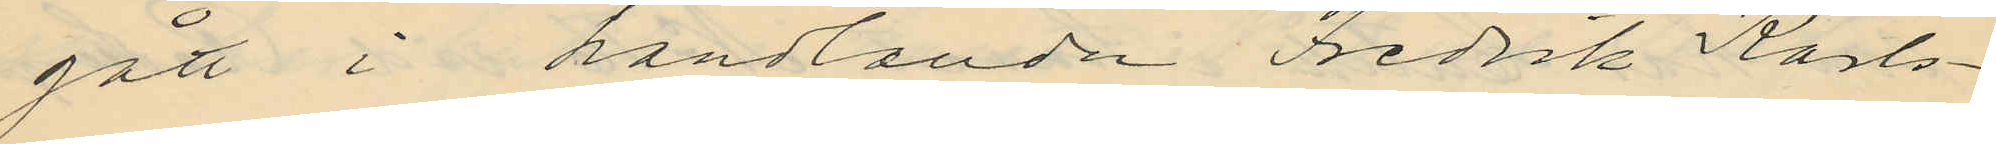gått i handlanden Fredrik Karls¬
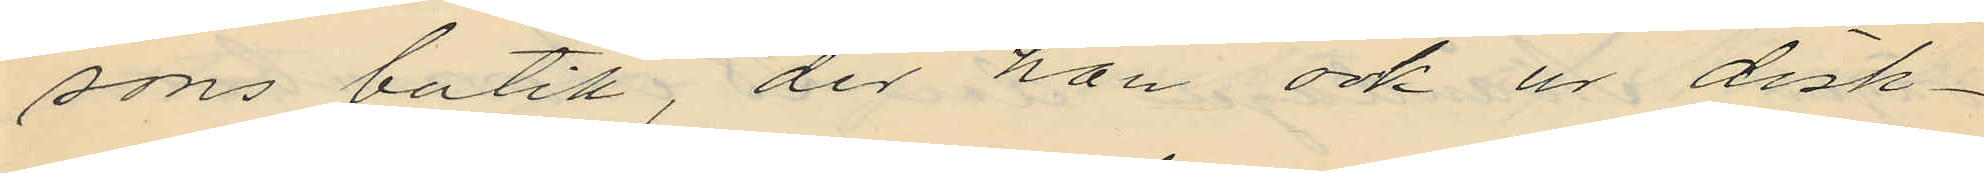sons butik, der han och ur disk¬
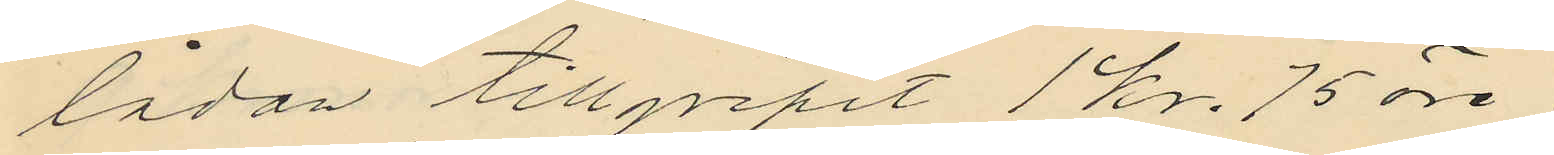lådan tillgripit 1 kr. 75 öre
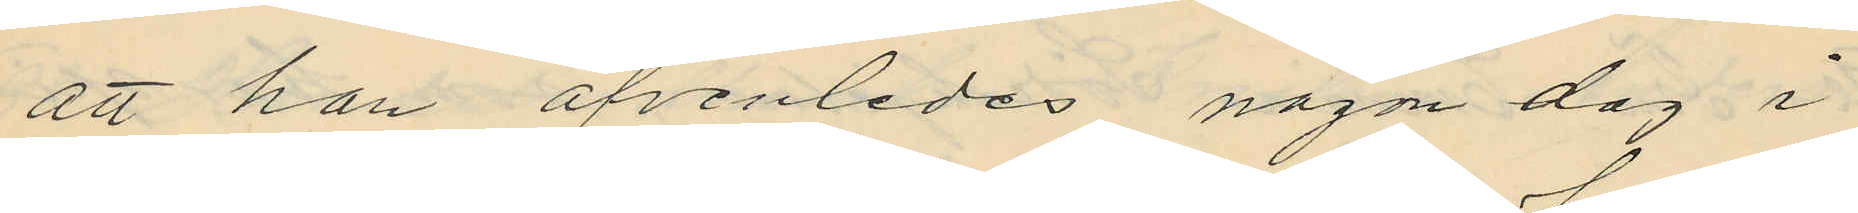att han äfvenledes någon dag i
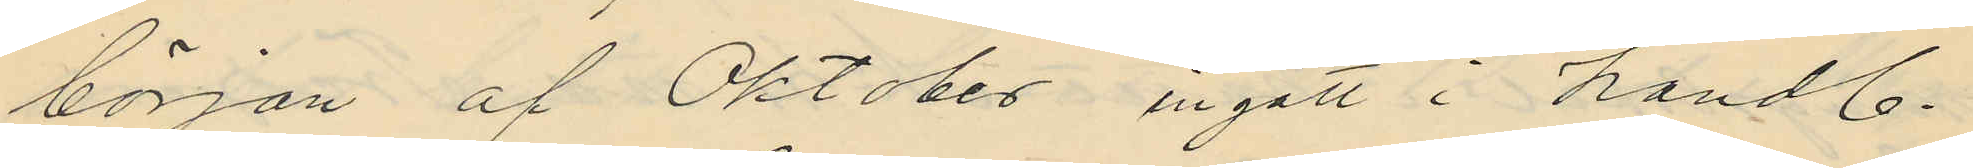början af Oktober ingått i handl.
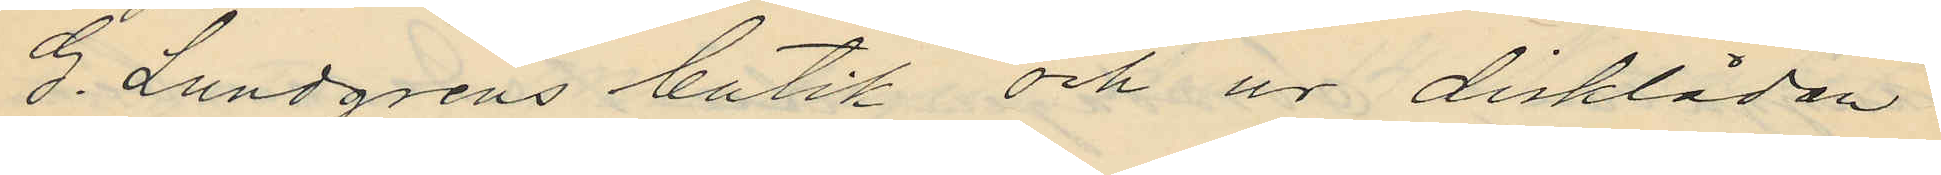G. Lundgrens butik och ur disklådan
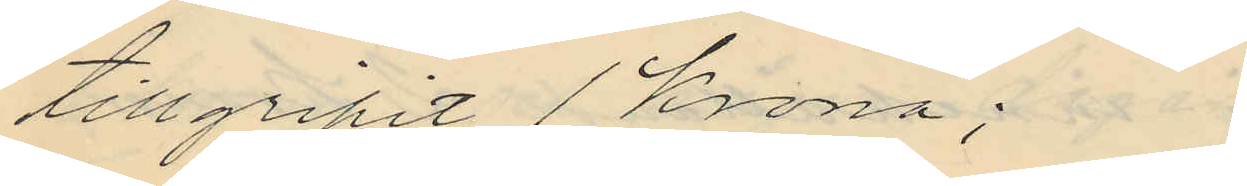tillgripit 1 Krona;
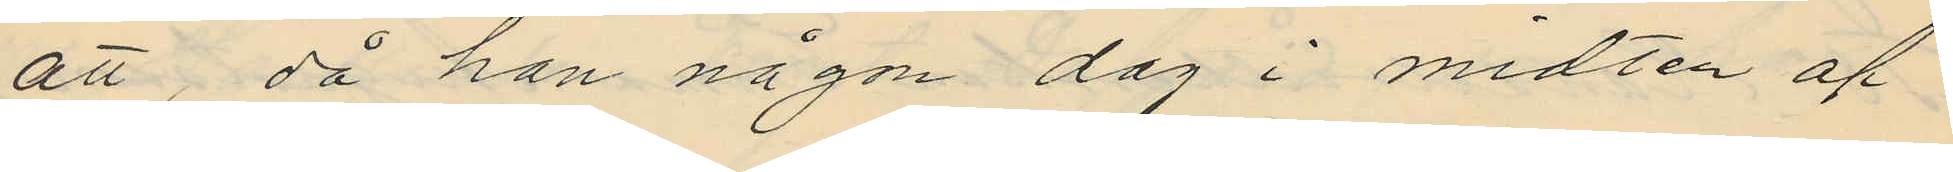att, då han någon dag i midten af
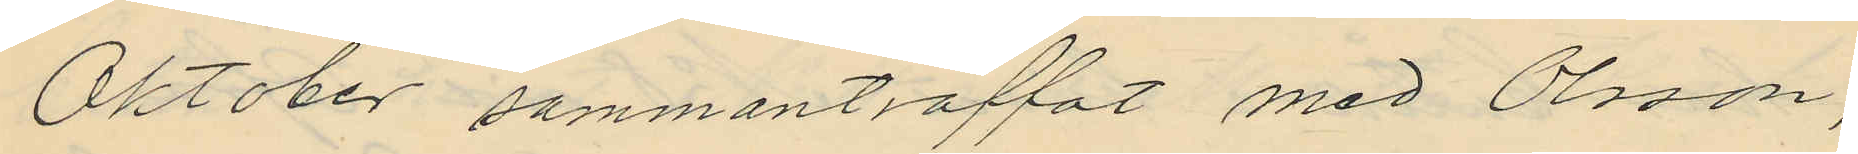Oktober sammanträffat med Olsson,
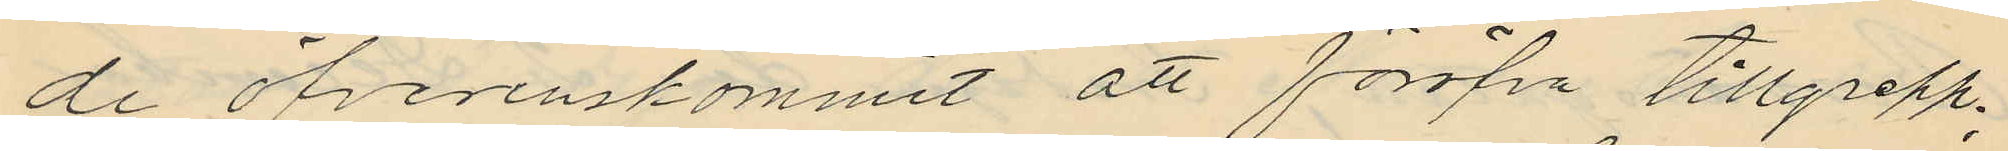de öfverenskommit att föröfva tillgrepp:
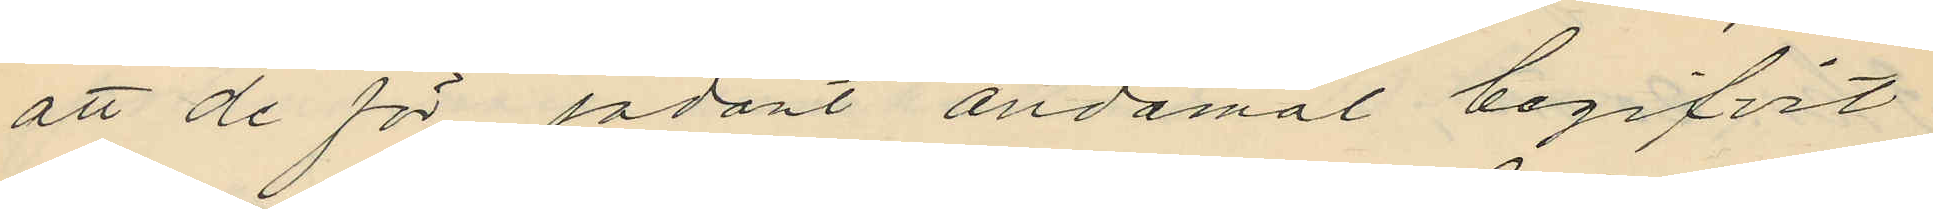att de för sådant ändamål begifvit
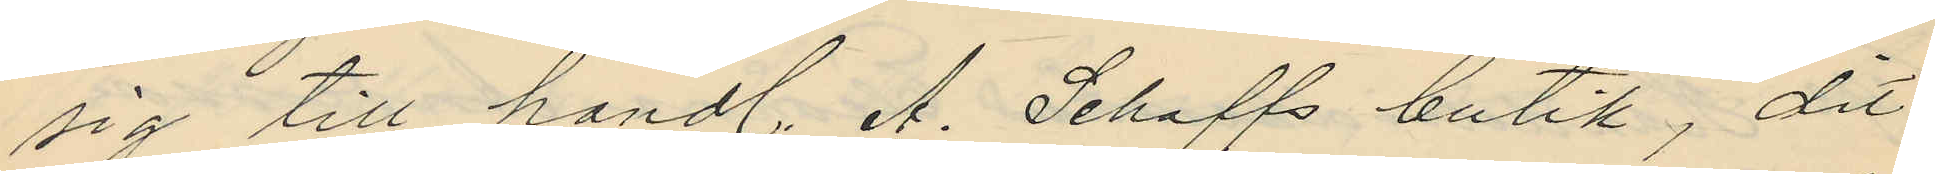sig till handl. A. Schaffs butik, dit
